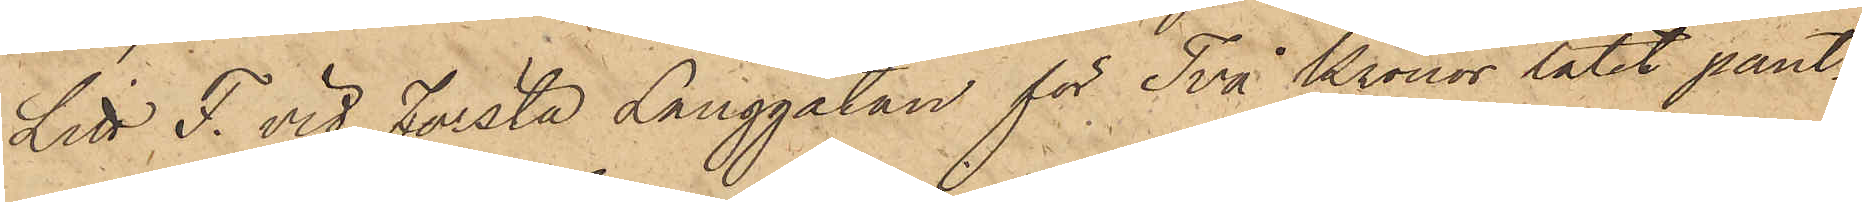Litt. F. vid Första Långgatan för Två Kronor låtit pant¬
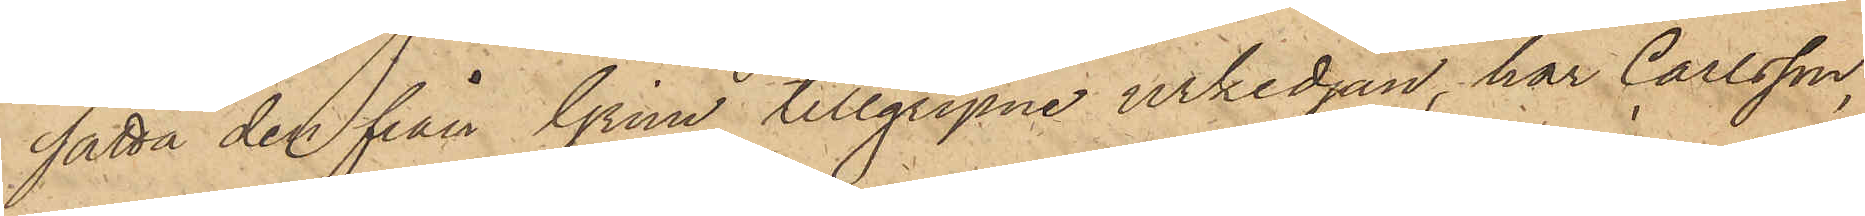sätta den från Grim tillgripne urkedjan, har Carlsson,
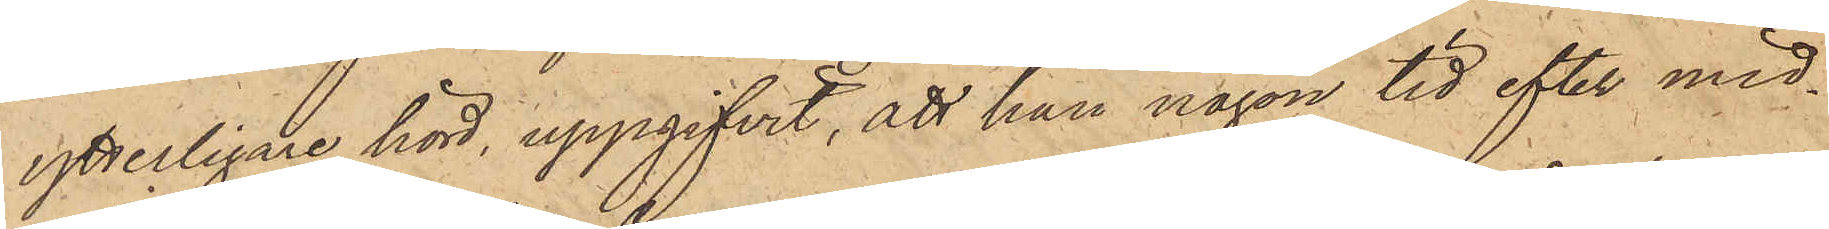ytterligare hörd, uppgifvit, att han någon tid efter mid¬
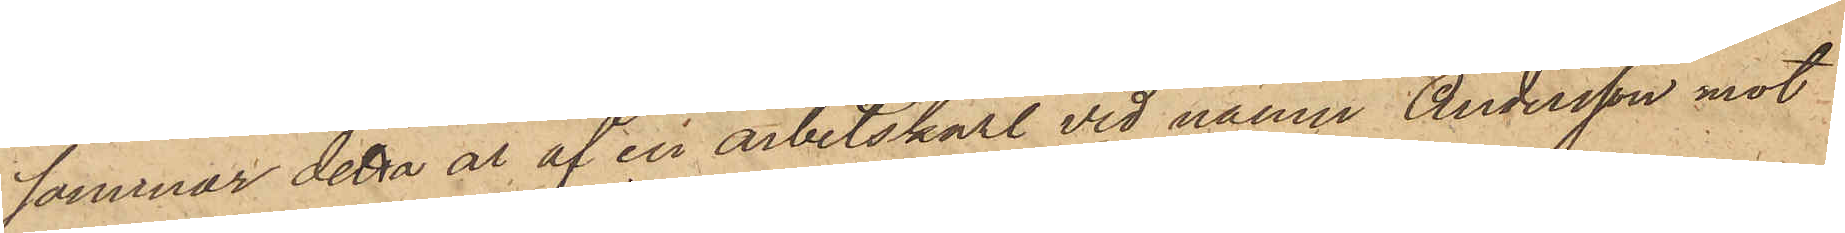sommar detta år af en arbetskarl vid namn Andersson mot
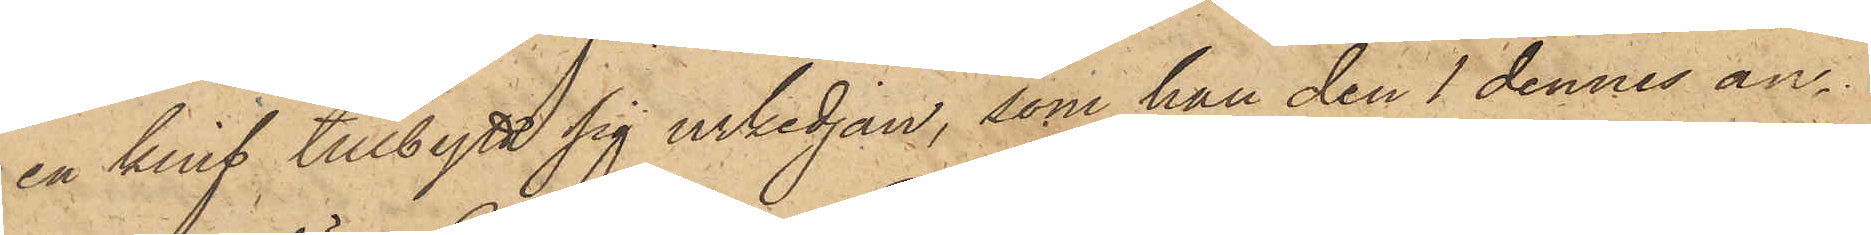en knif tillbytt sig urkedjan, som han den 1 dennes an¬
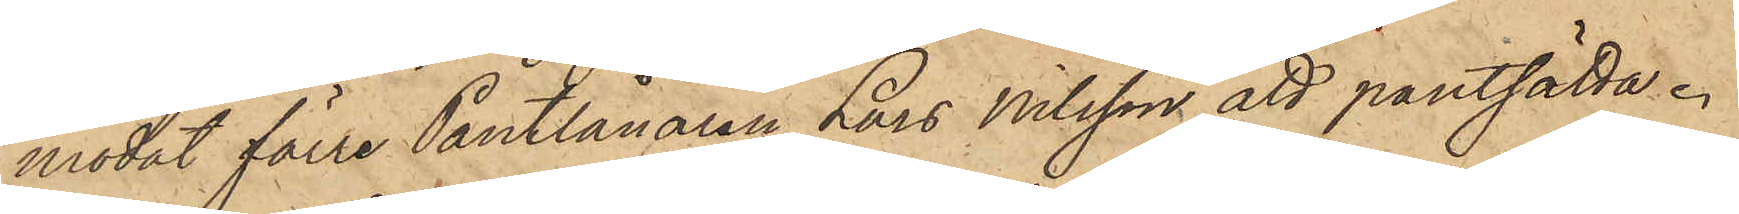modat förre Pantlånaren Lars Nilsson att pantsätta.
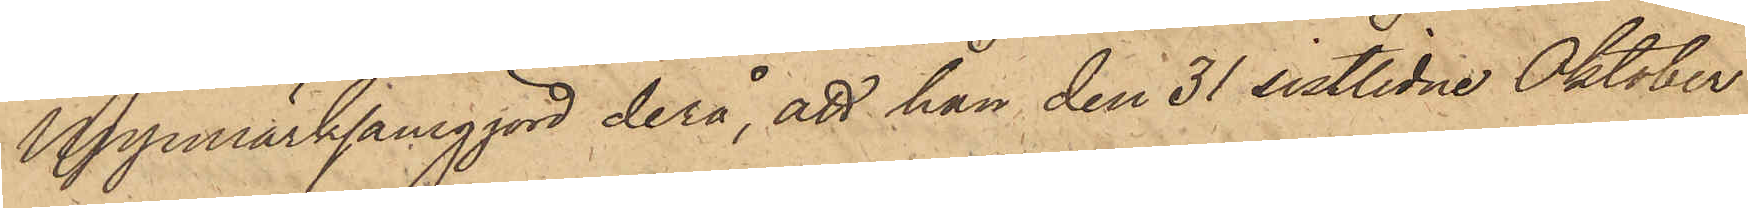Uppmärksamgjord derå, att han den 31 sistlidne Oktober
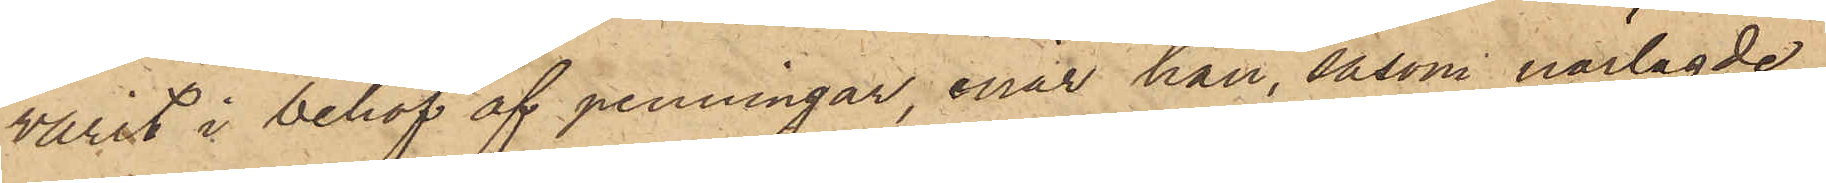varit i behof af penningar, enär han, såsom närlagde
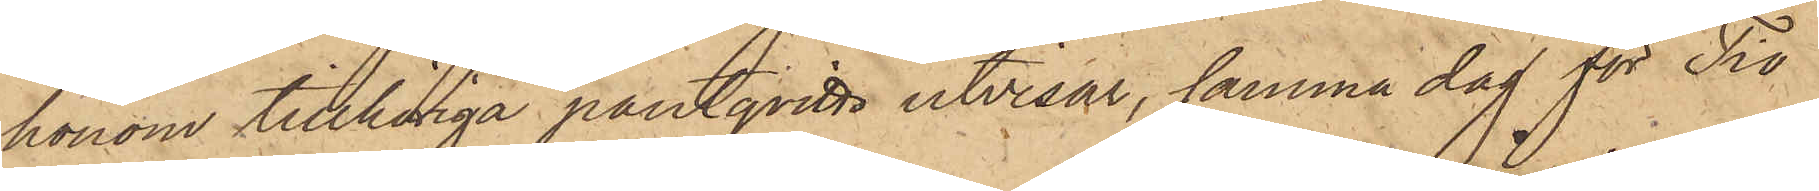honom tillhöriga pantqvitto utvisar, samma dag för Tio
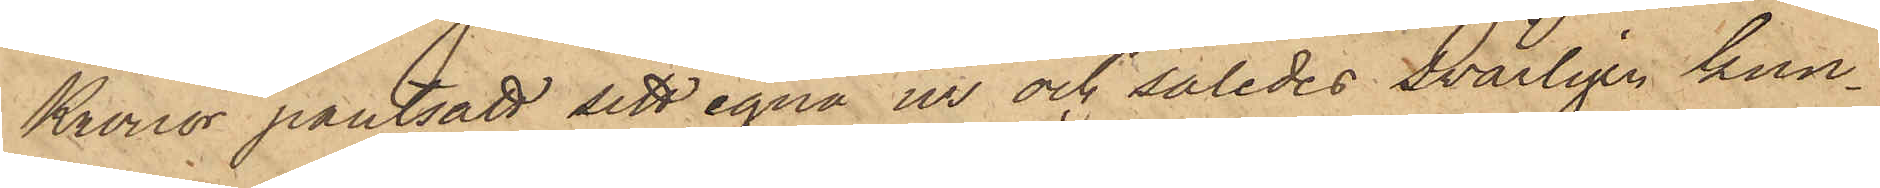Kronor pantsatt sitt egna ur och således svårligen kun¬
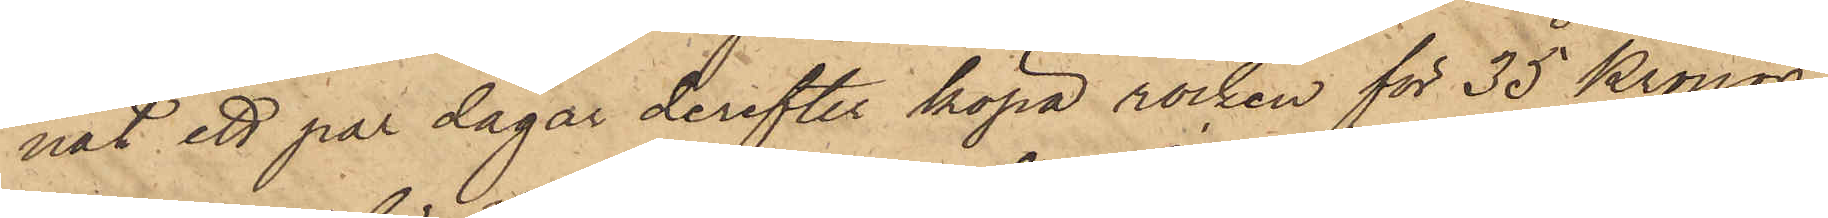nat ett par dagar derefter köpa rocken för 35 Kronor
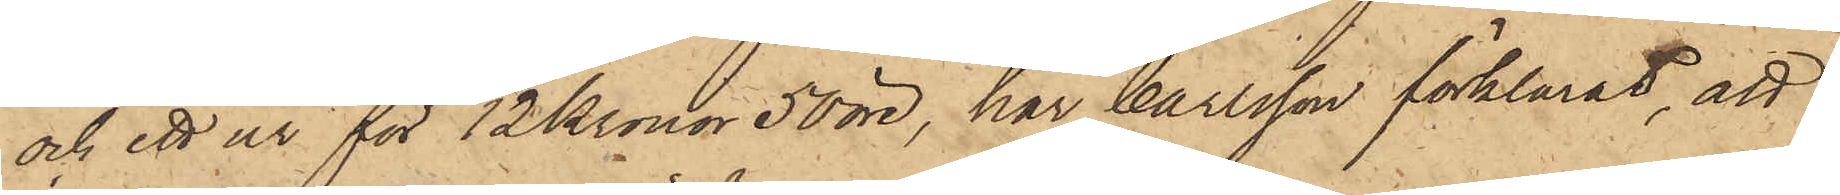och ett ur för 12 Kronor 50 öre, har Carlsson förklarat, att
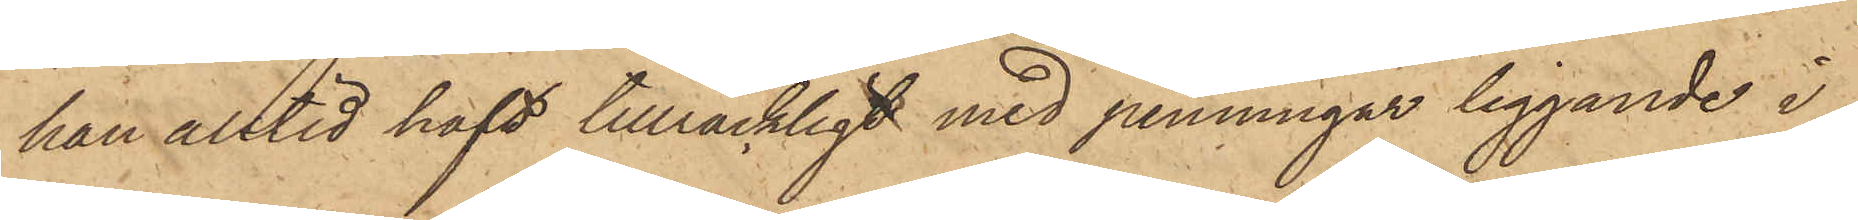han alltid haft tillräckligt med penningar liggande i
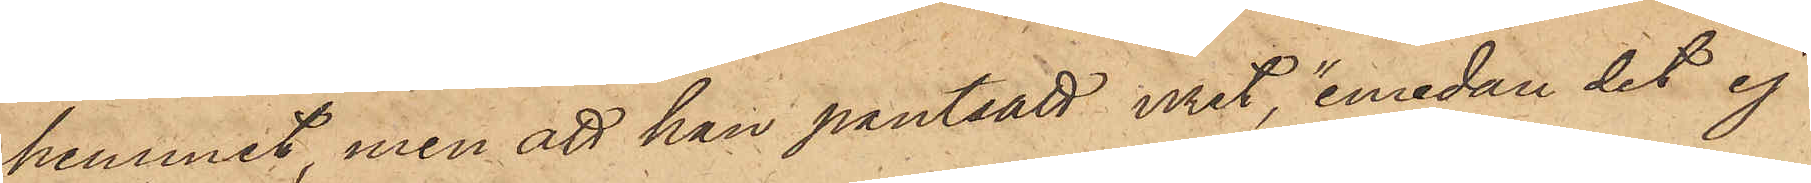hemmet, men att han pantsatt uret, "emedan det ej
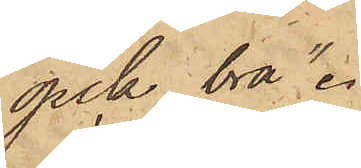gick bra".
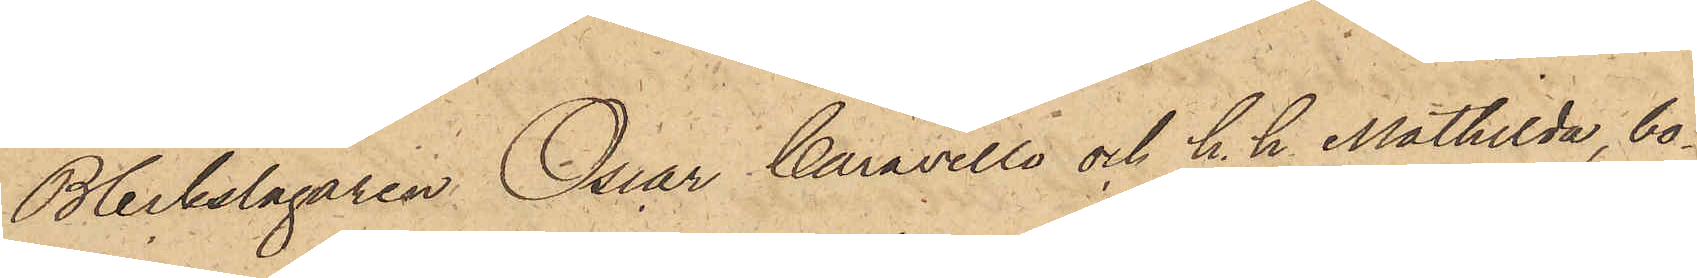Bleckslagaren Oscar Caravello och h h Mathilda, bo¬
